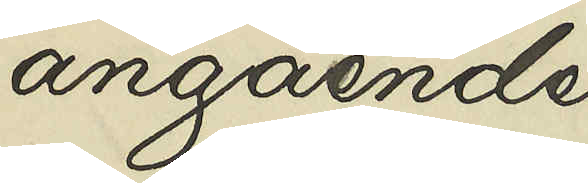angående
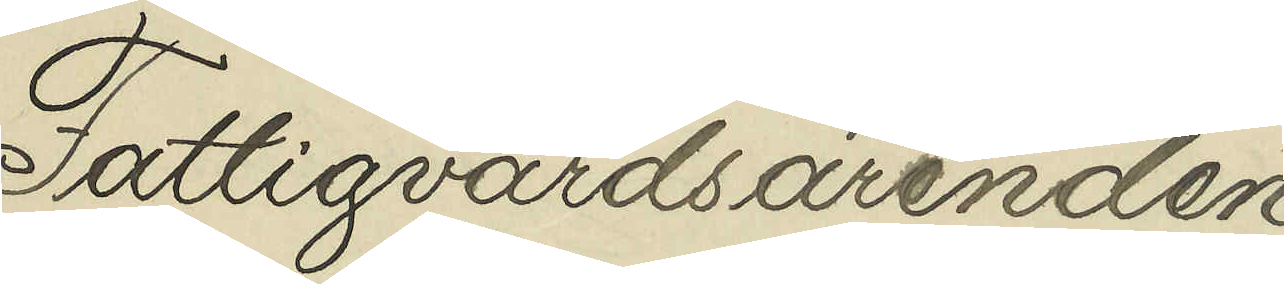Fattigvården
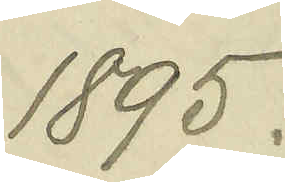1895.
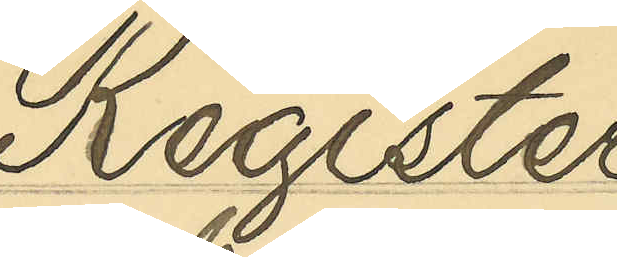Register
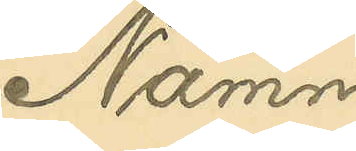Namn
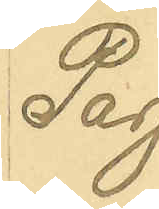Pag.
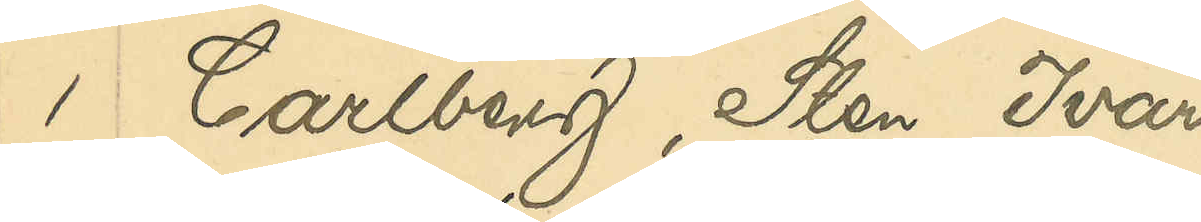1 Carlberg, Sten Ivar
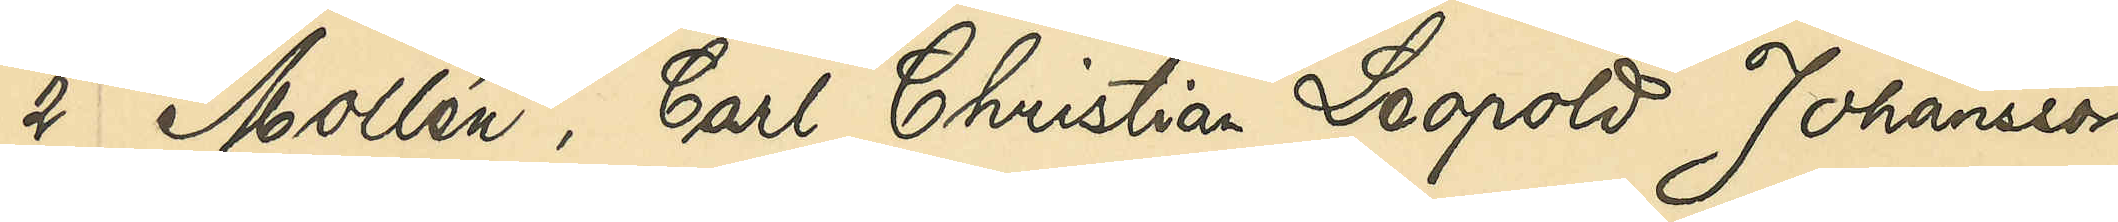2 Mollén, Carl Christian Leopold Johansson
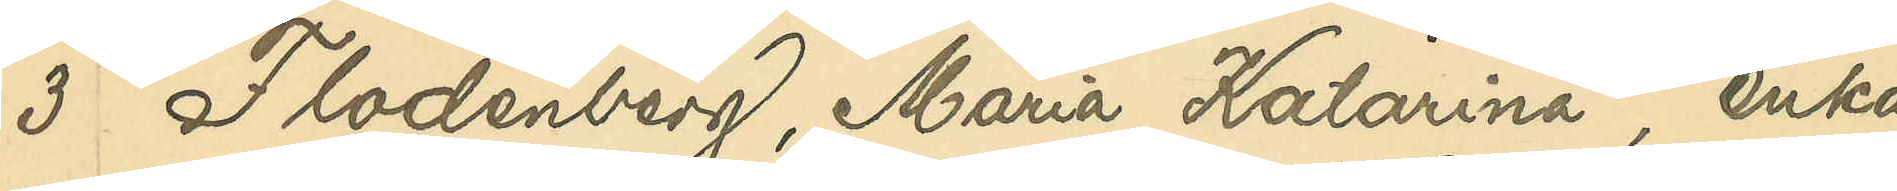3 Flodenberg, Maria Katarina, enka
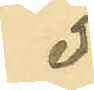5
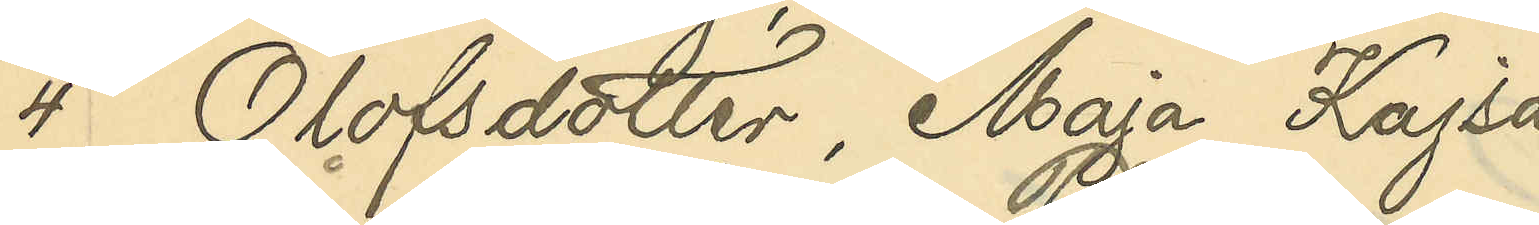4 Olofsdotter, Maja Kajsa
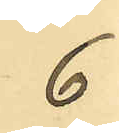6
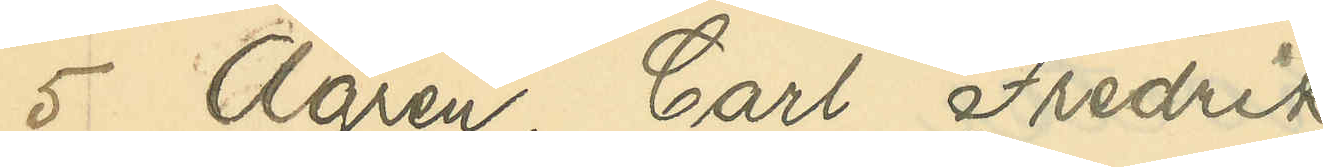5 Ågren, Carl Fredrik
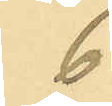6
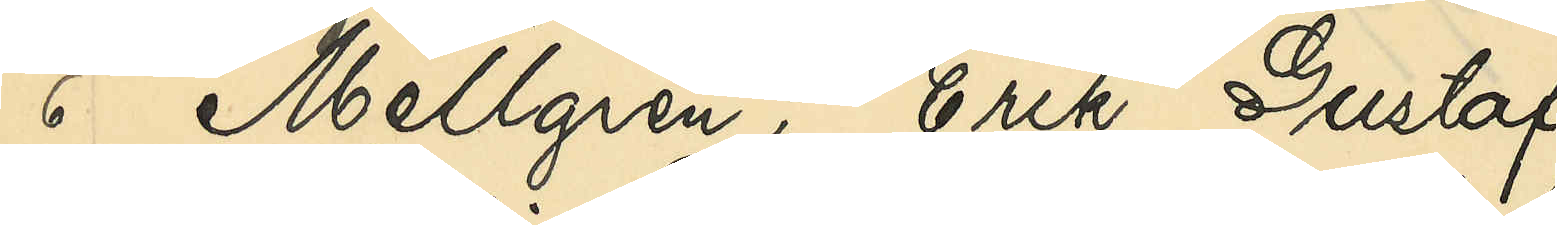6 Mellgren, Erik Gustaf
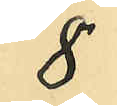8
